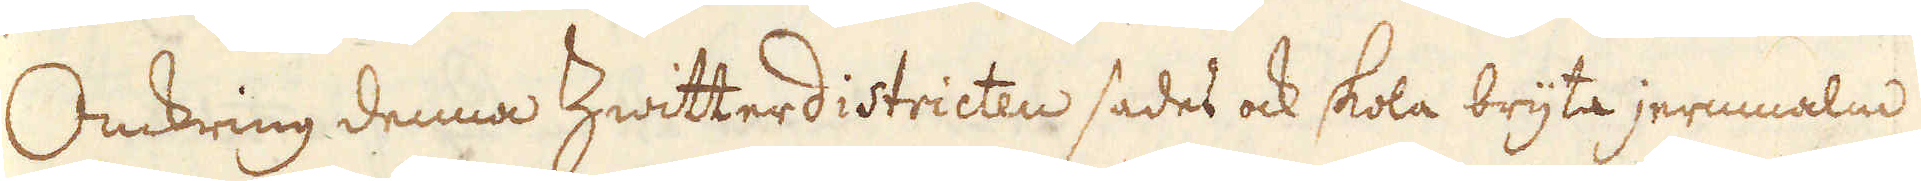Omkring denna hwitterdistricten sades ock skola bryta jernnalm
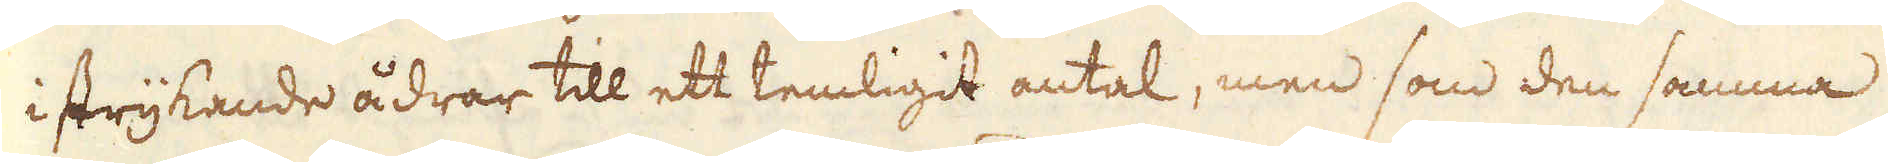i strykande ådrar till ett temligit antal, men som den samma
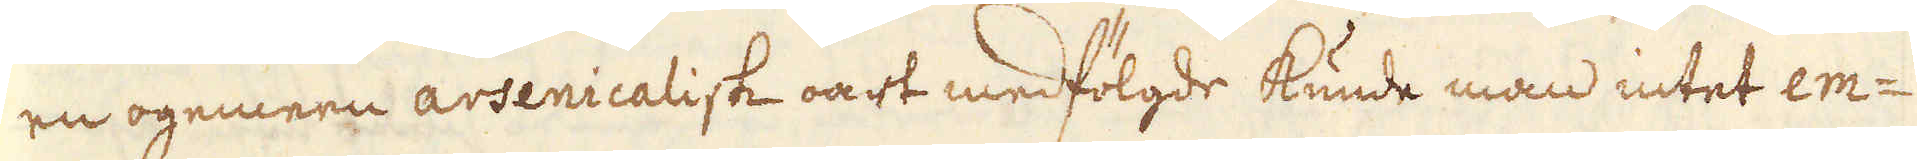en ogemeen arsenicalisk oart medfölgde kunde man intet em-
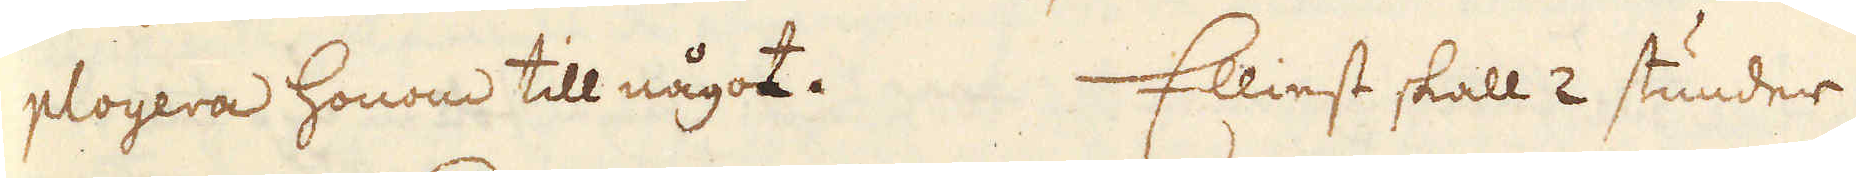ployera honom till något. Elliest skall 2 stunder
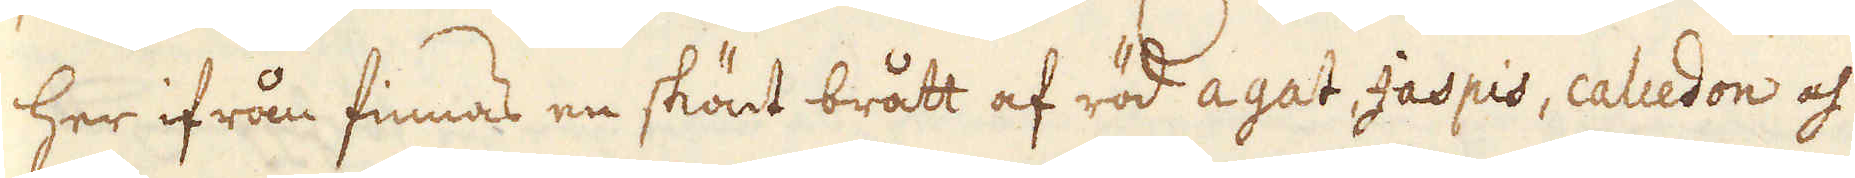her ifrån finnas en skönt brått af röd agat, Jaspis, calcedon och
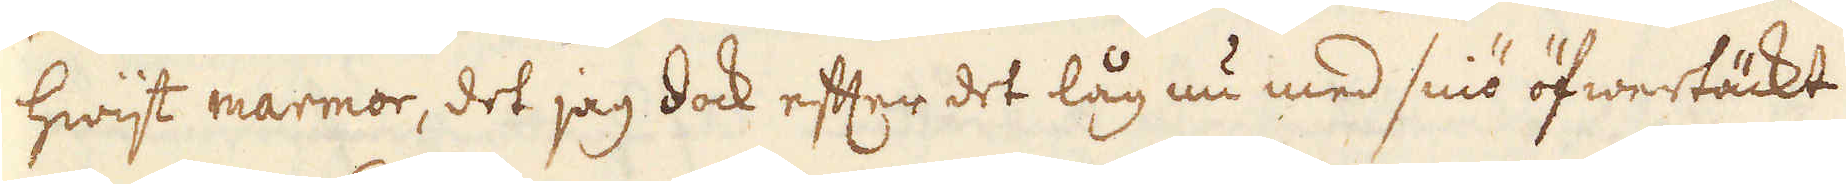hwijt marmor, det jag dock efter det låg nu med sniö öfwertäckt
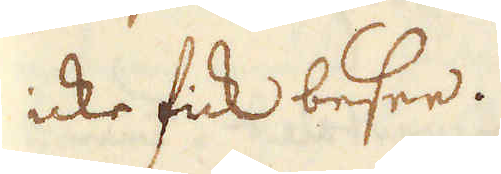icke fick besee.
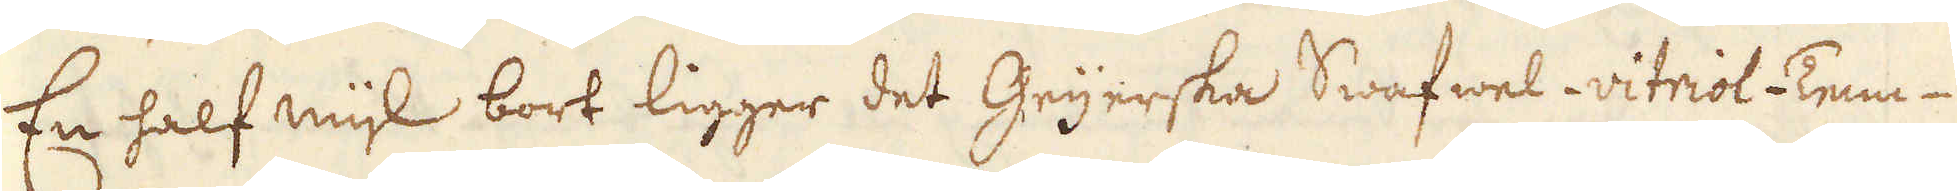En half mijl bort ligger det Geijerska Swafwel-vitriol-Tenn-
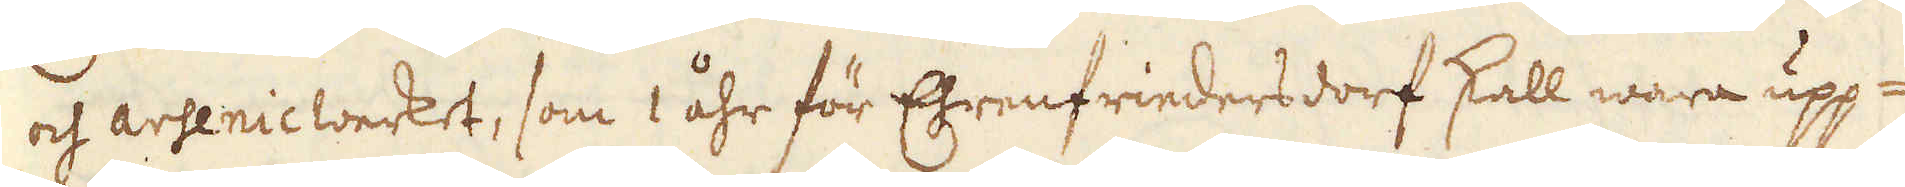och arsenicwerket, som 1 åhr för Ehrenfriedersdorf skall wara upp-
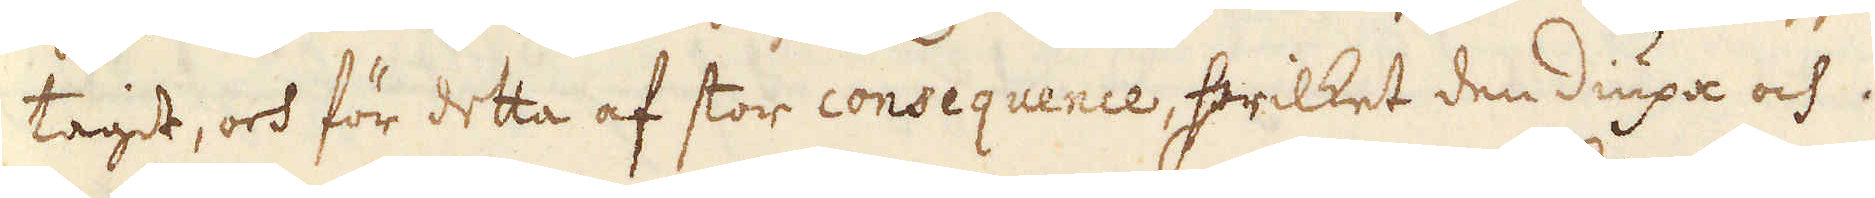tagit, och för detta af stor consequence, hwilket den diupa och
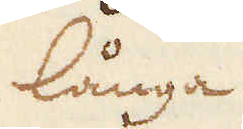långa
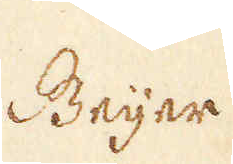Beijer.
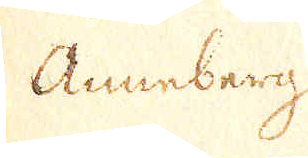Anneberg
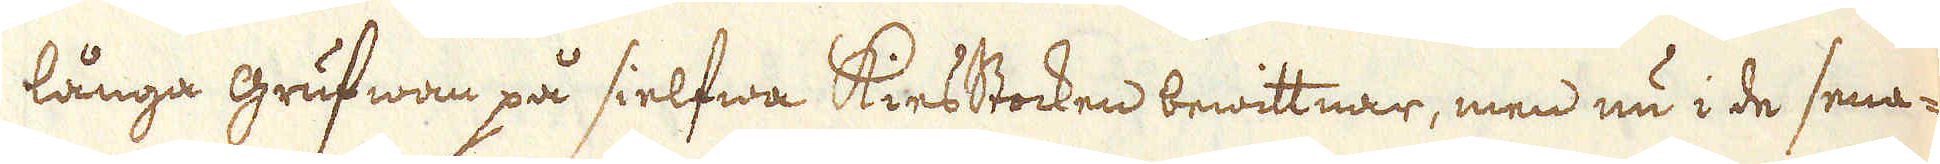långa grufwan på sielfwa Kiesstocken bewittnar, men nu i de sena-
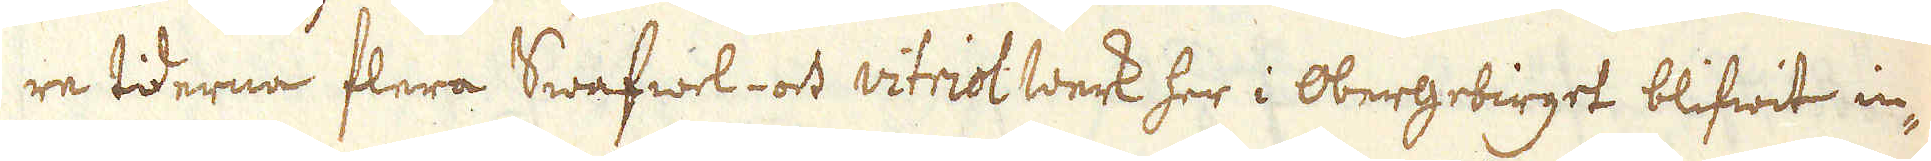re tiderna flera Swafwel- och vitriol werk her i Obergebirget blifwit in-
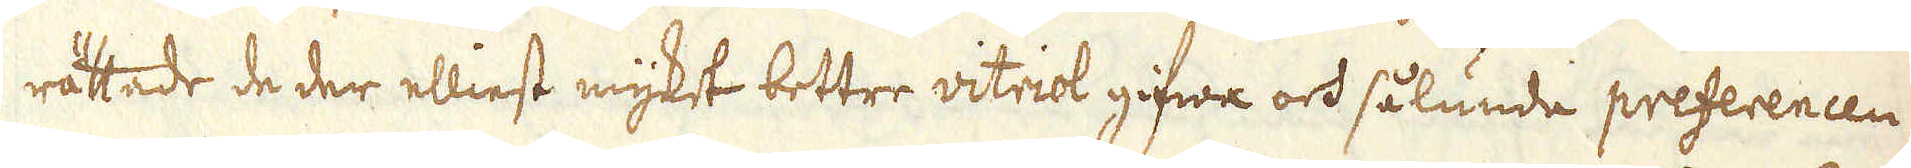rättade de der elliest mycket bettre vitriol gifwa och sålunda preferencen
